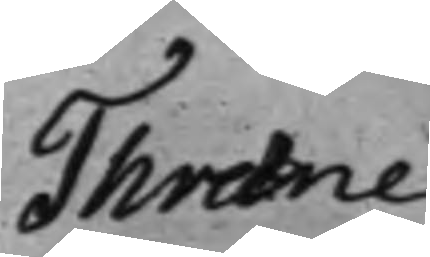Thræne
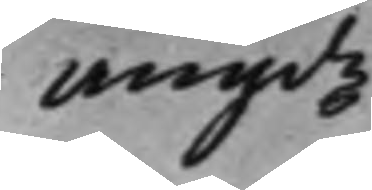angde
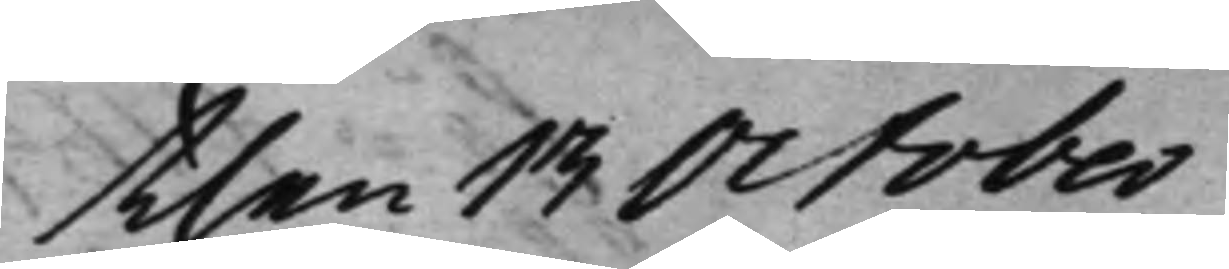then 13 October
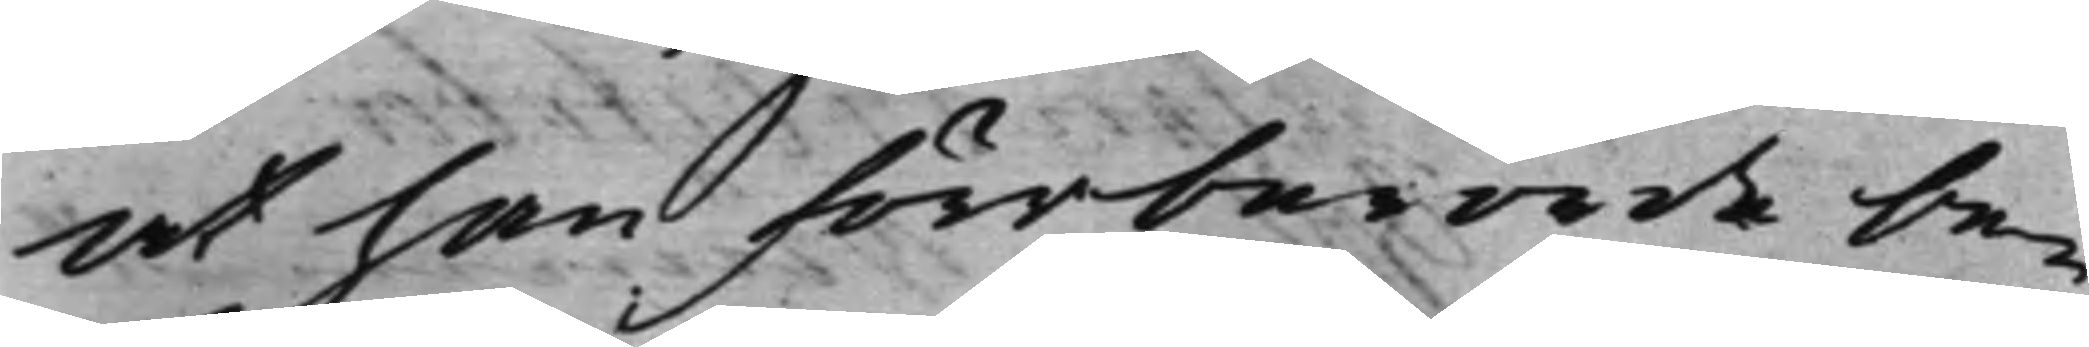at han förrberörde be¬
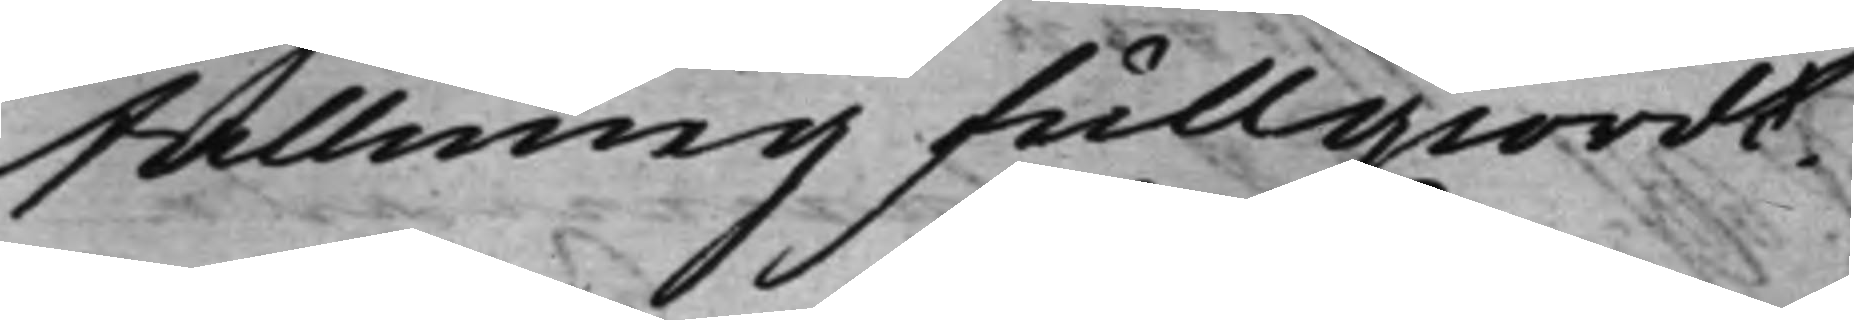fallning fullgiordt.
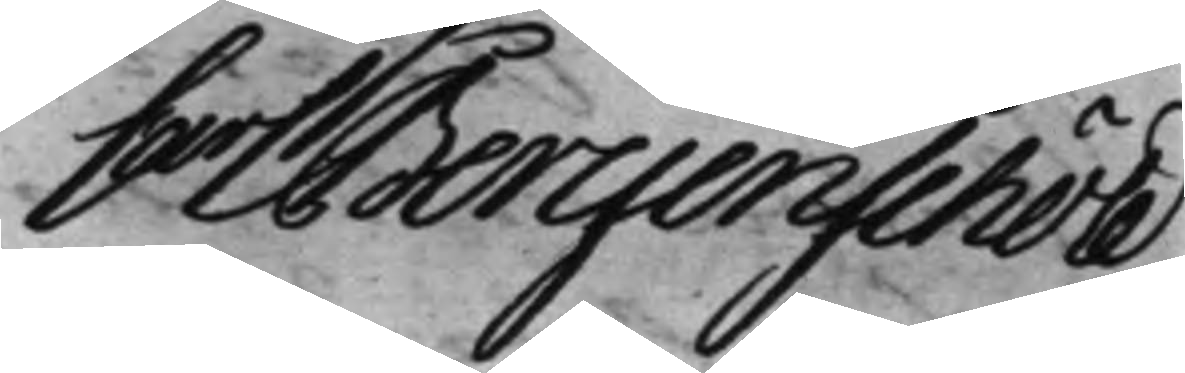Carl Bergenschöld.
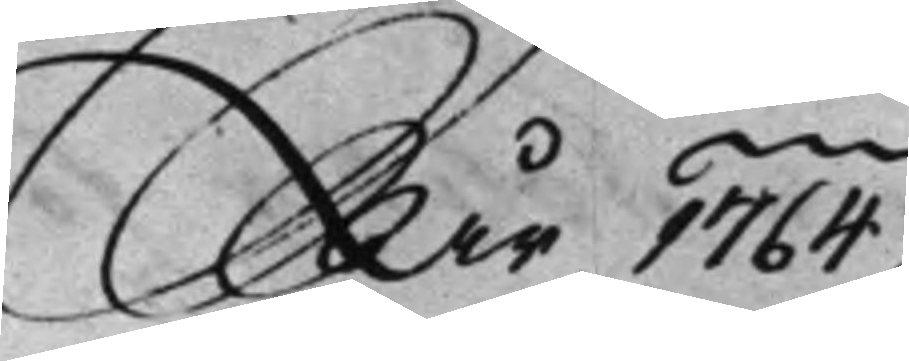År 1764.
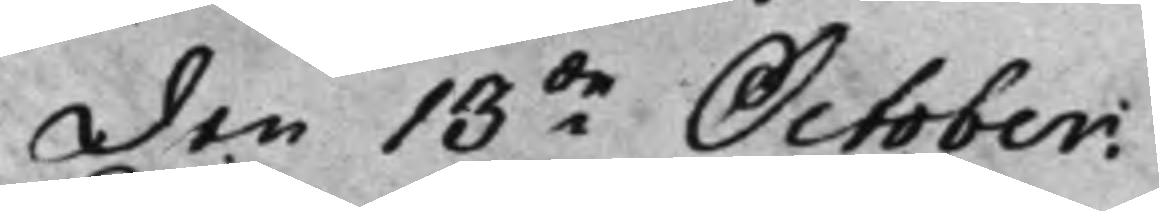Den 13de October.
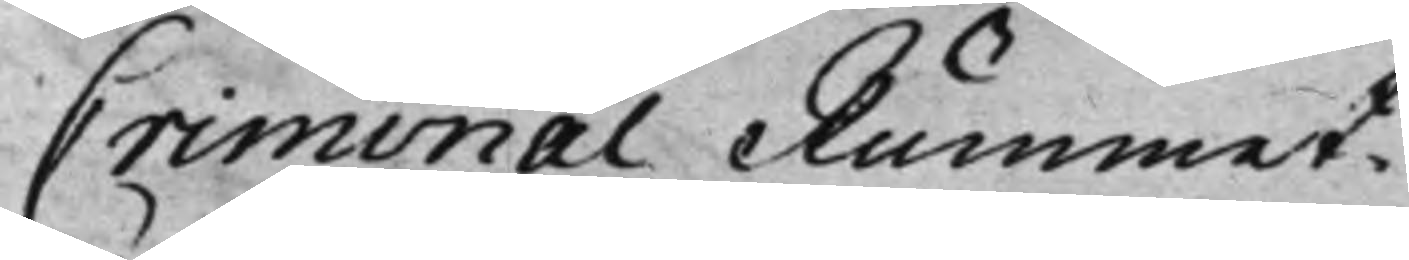Criminal Rummet.
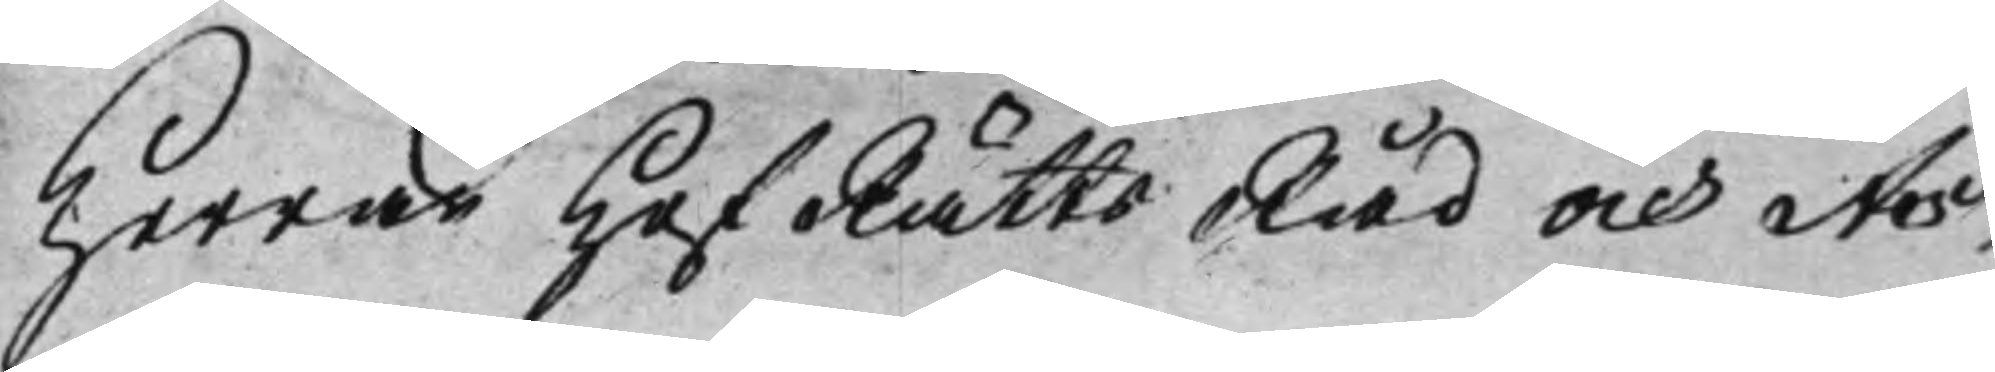Herrar HofRättsRåd och As¬
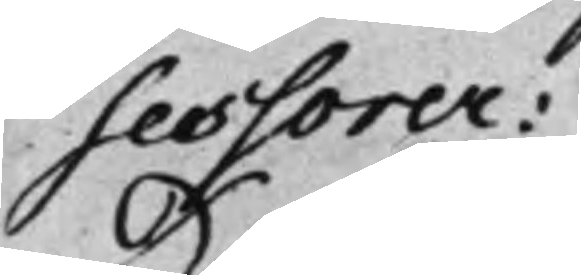sessorer:
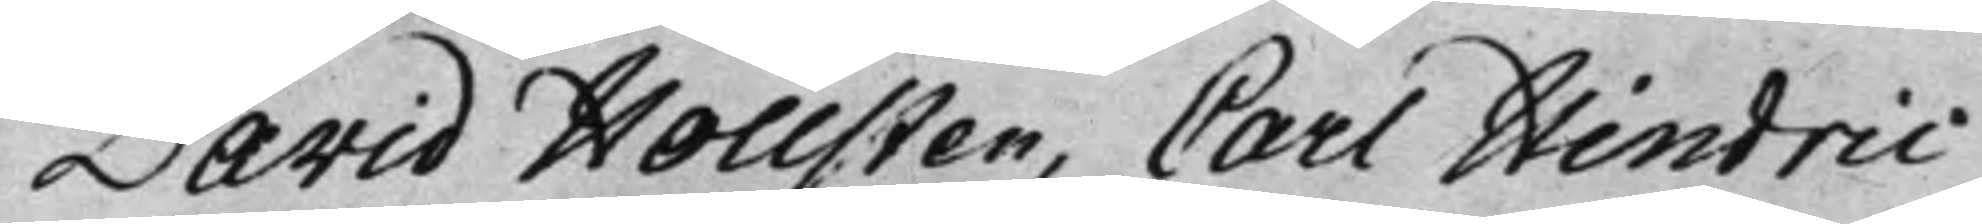David Hollsten, Carl Hindric
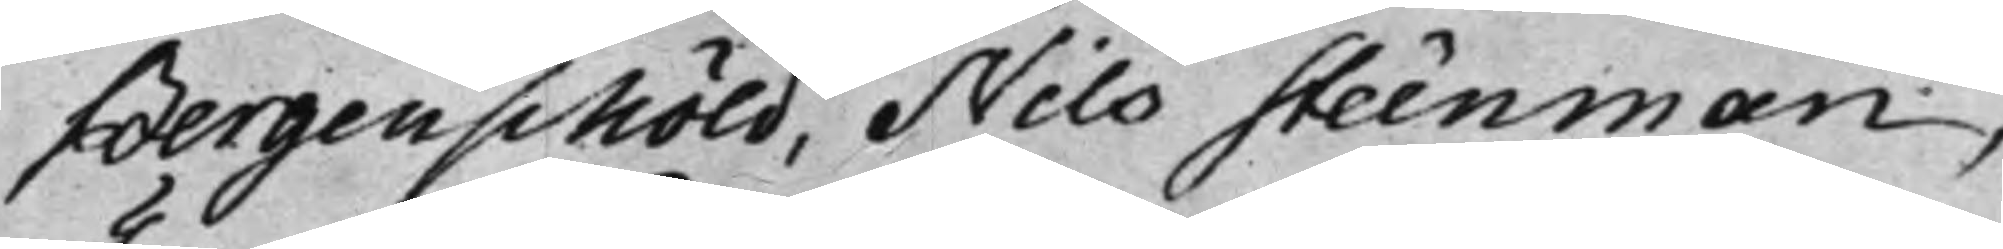Bergenschöld, Nils Steenman,
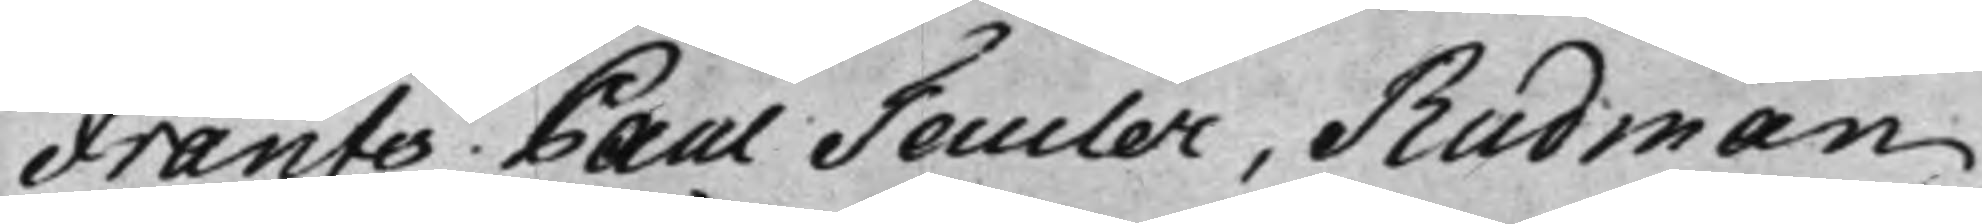Frants Paul Teucler, Rudman
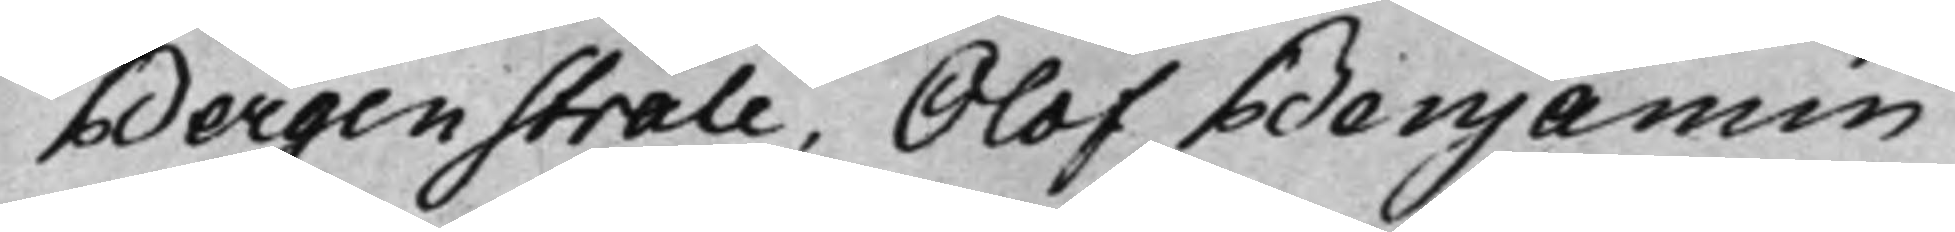Bergenstråle. Olof Benjamin
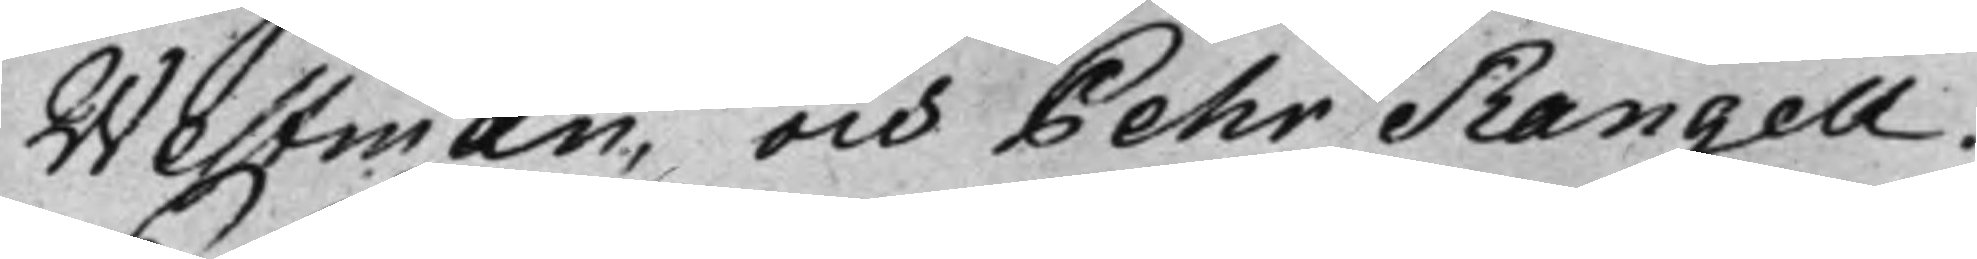Westman, och Pehr Rangell.
